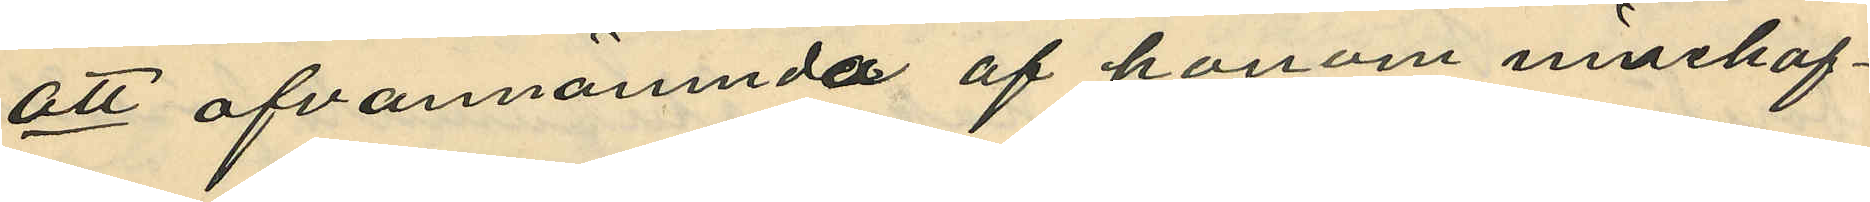att ofvannämnda af honom innehaf¬
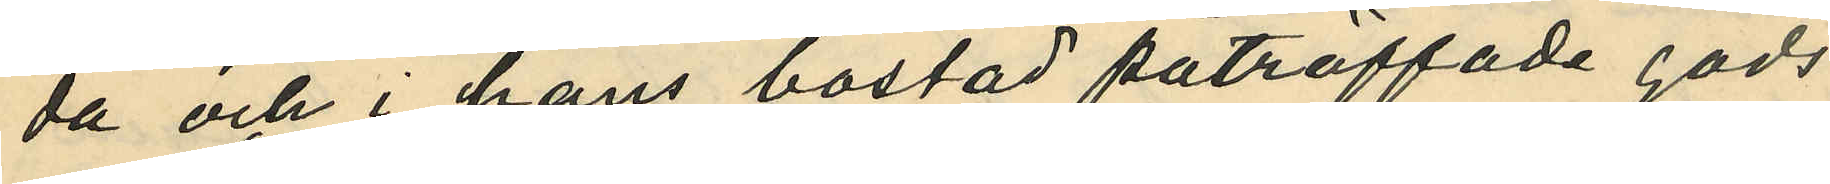da och i hans bostad påträffade gods
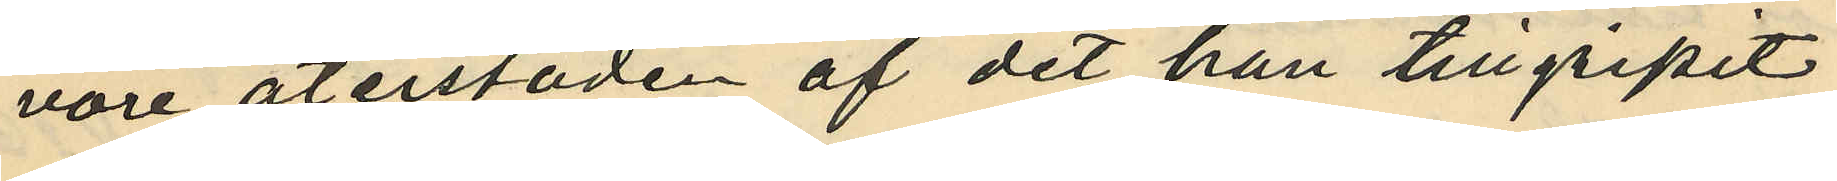vore återstoden af det han tillgripit
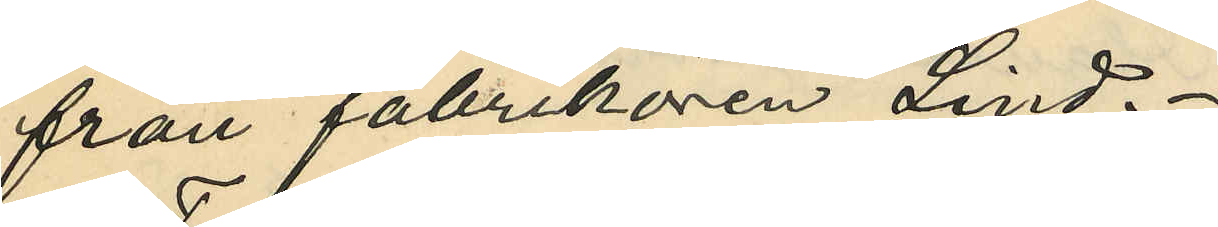från fabrikören Lind.
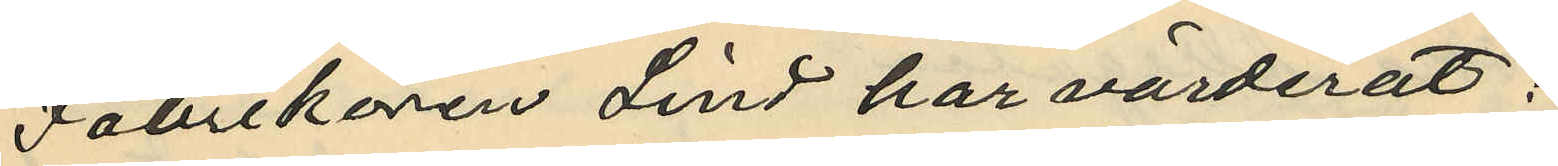Fabrikören Lind har värderat:
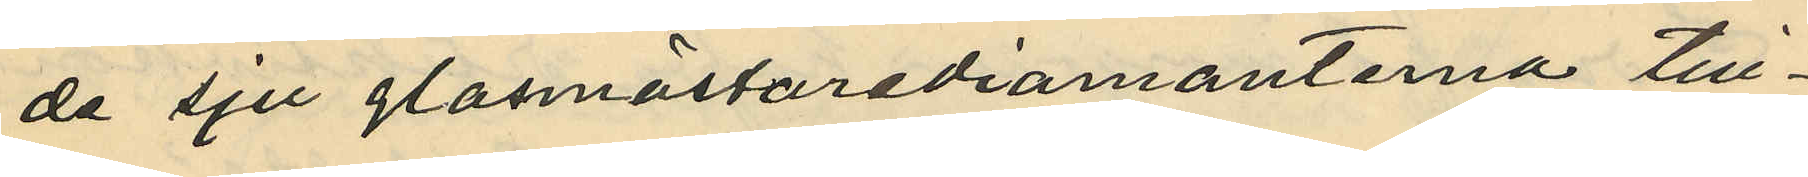de sju glasmästarediamanterna till¬
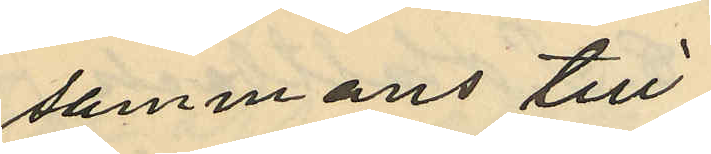sammans till
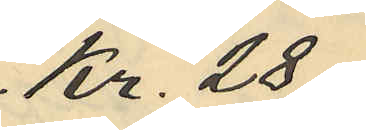Kr. 28:
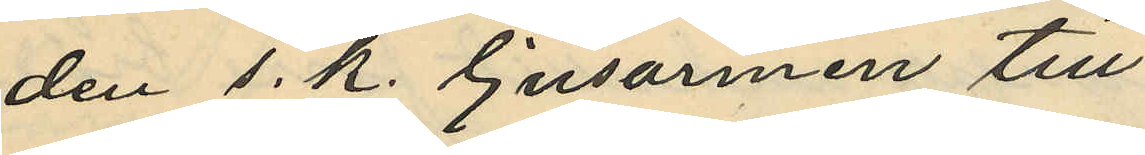den s. k. ljusarmen till
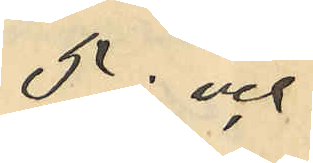5: och
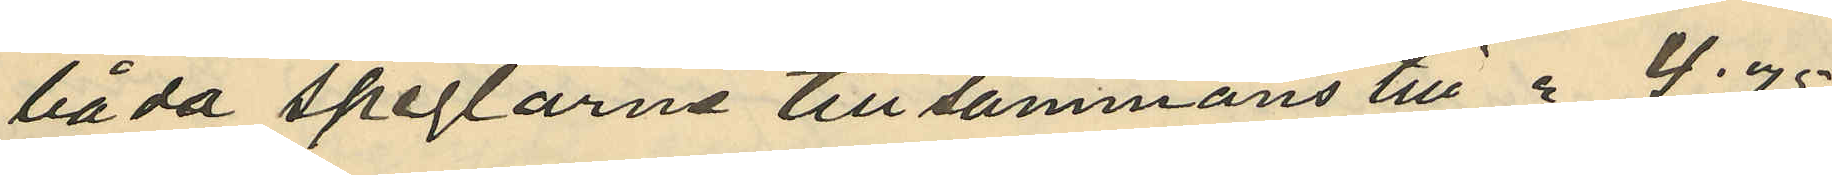båda speglarna tillsammans till " 4:75
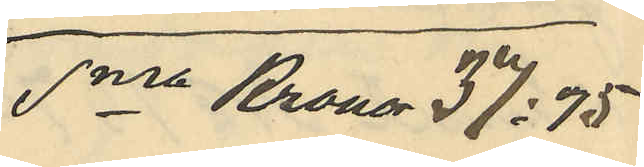Sma Kronor 37:75.
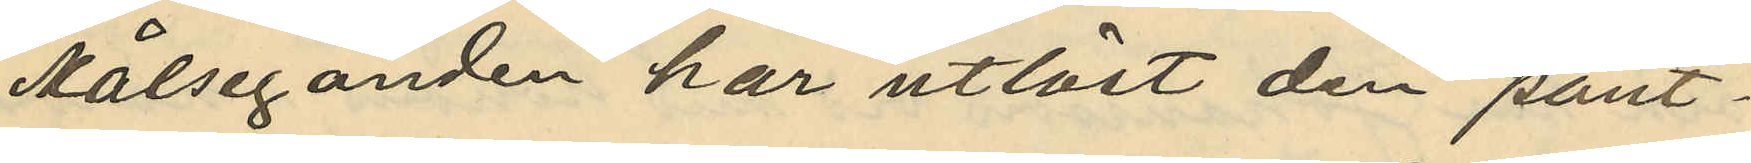Målseganden har utlöst den pant¬
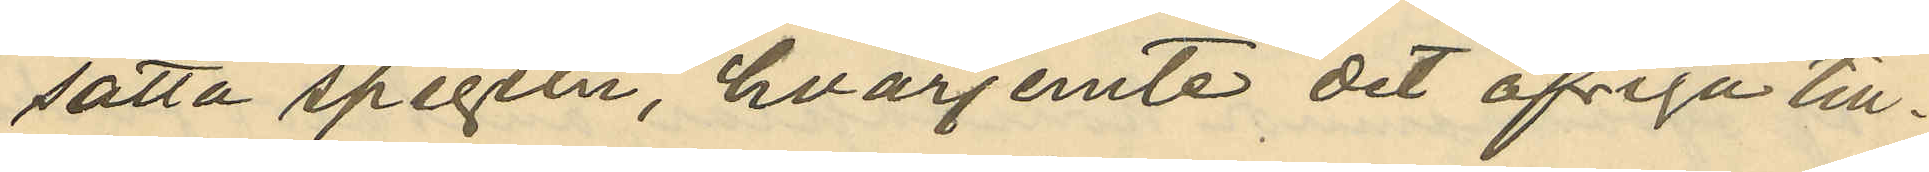satta spegeln, hvarjemte det öfriga till¬
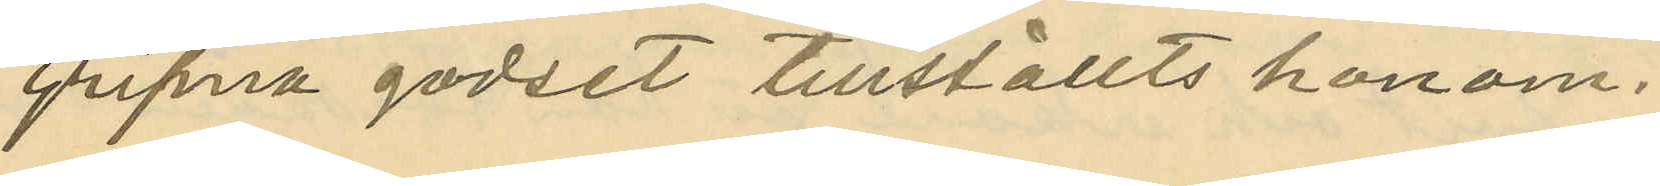gripna godset tillställts honom.
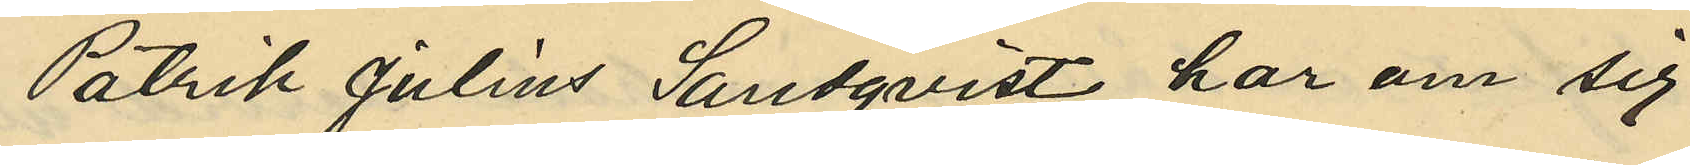Patrik Julius Landqvist har om sig
